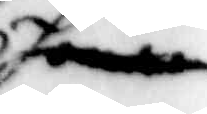honom
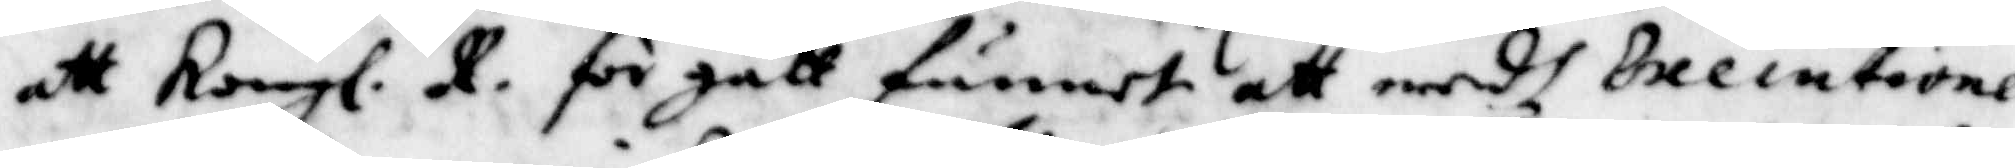att Kongl. R. för gått funnet att medh Executionen
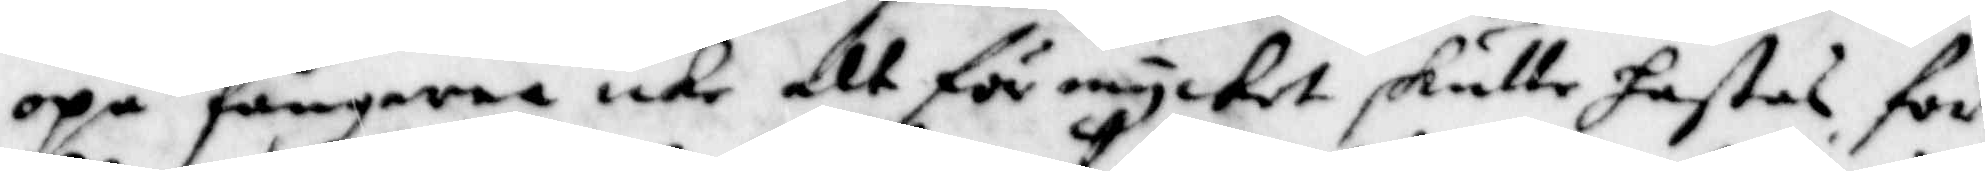opå fångarna icke alt för mycket skulle hastas för¬
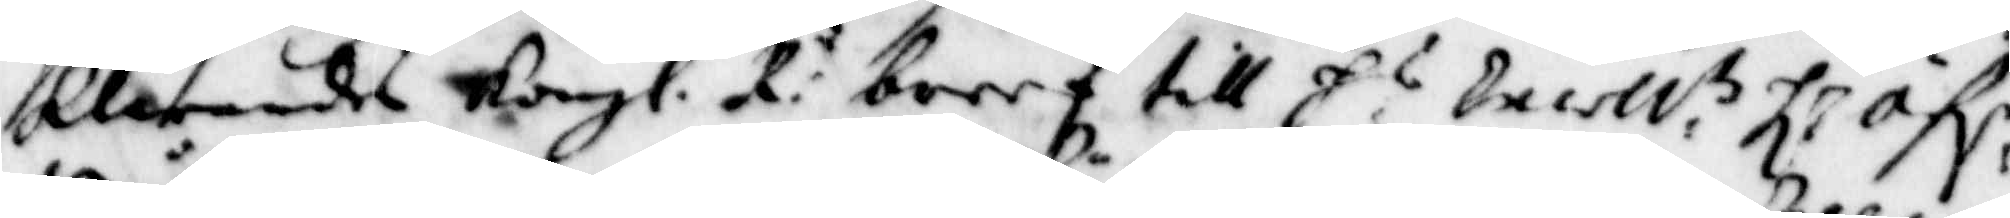klarandes Kongl. R:n breef till H:r Exell.tz H.r öf,r
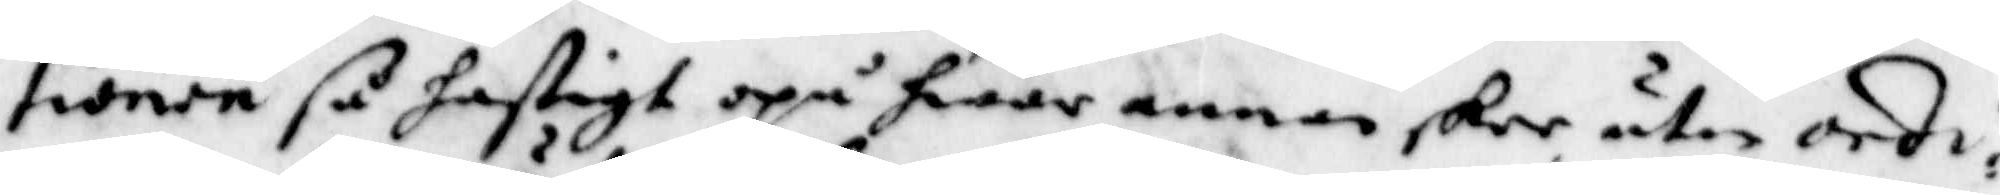tionen så hastigt opå hwar annan skee utan ordi¬
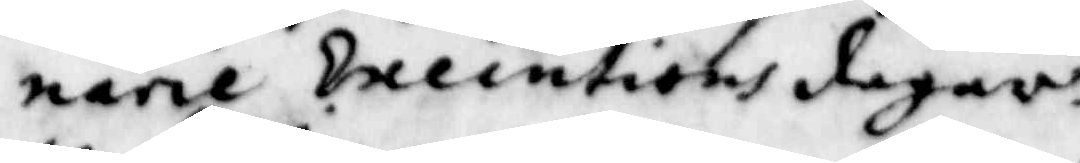narie Executins dagar.
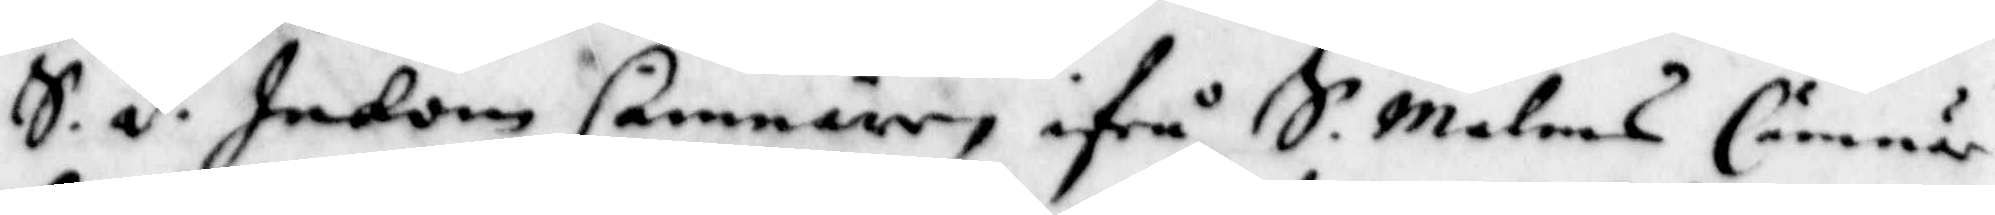S.d. Inkom Cämnärn ifrå S. Malms Cämnärs¬
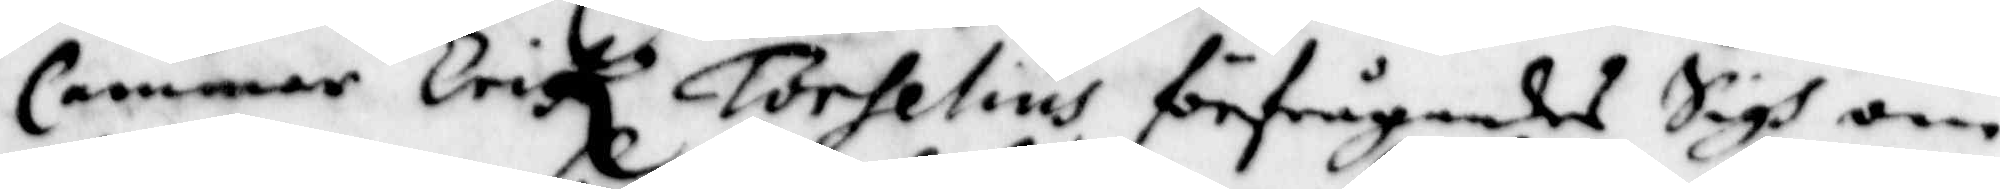Cammare Erik Torselius förfrågandes Sigh om
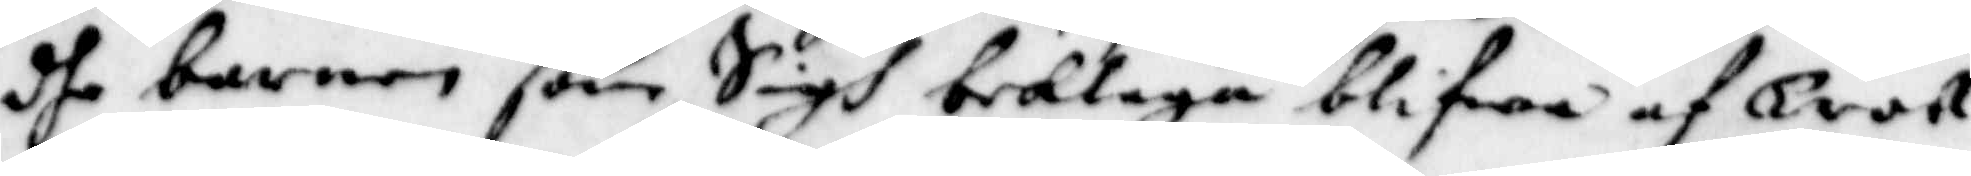dhe barnen som Sigh beklaga blifwa af Troll¬
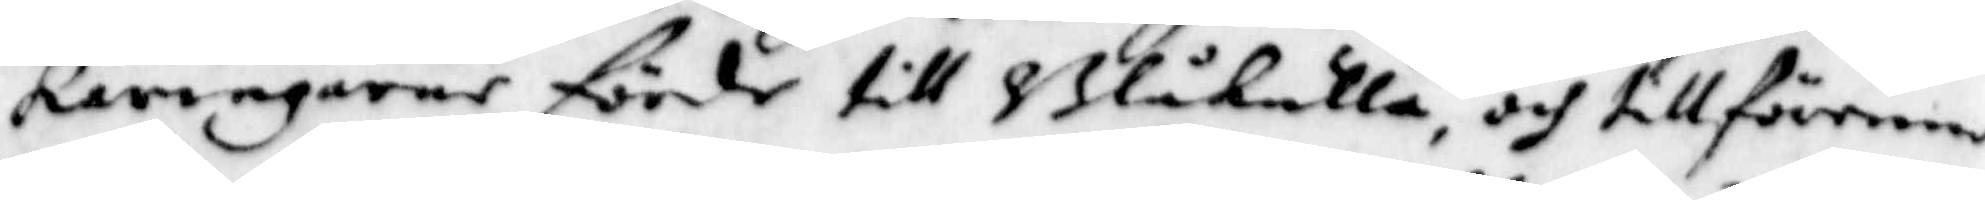käringarne förde till Blåkulla, och tillförene
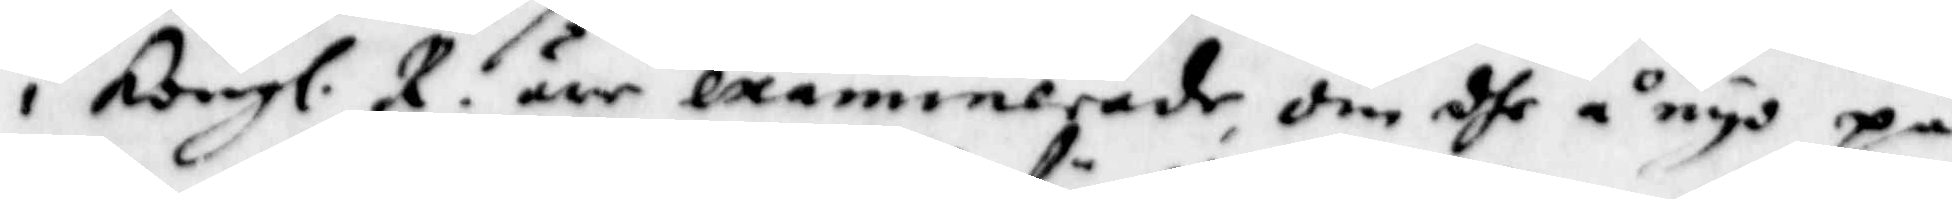i Kongl. R. äre examinerade, om dhe å nyo på
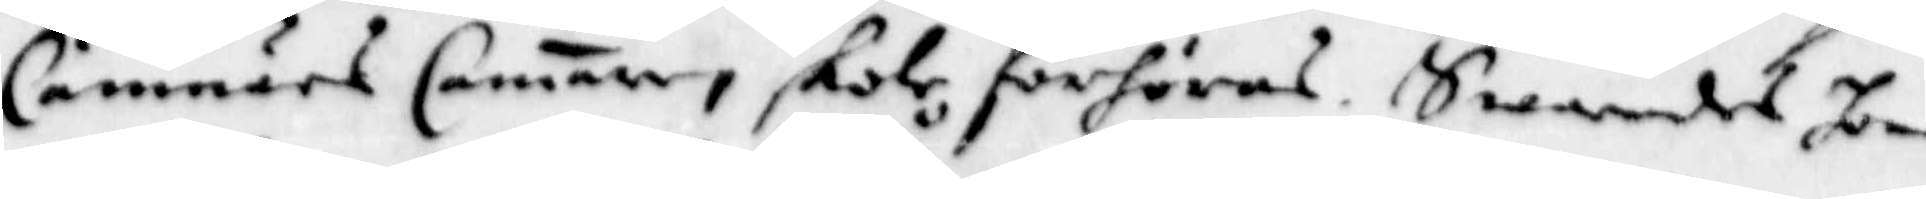Cämnärs Camare skole förhöras. Swarades honom
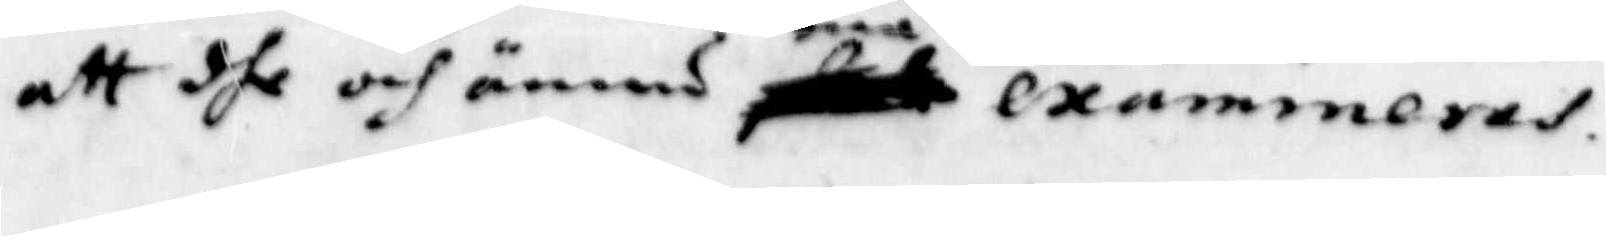att dhe och ännu må examineras.
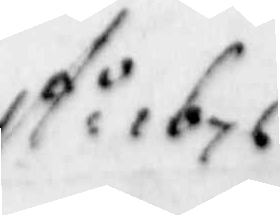A:o 1676
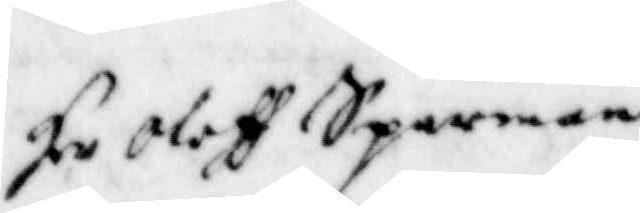Hr Oloff Sparman.
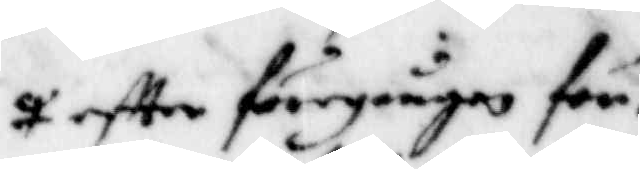eftter föregången för¬
